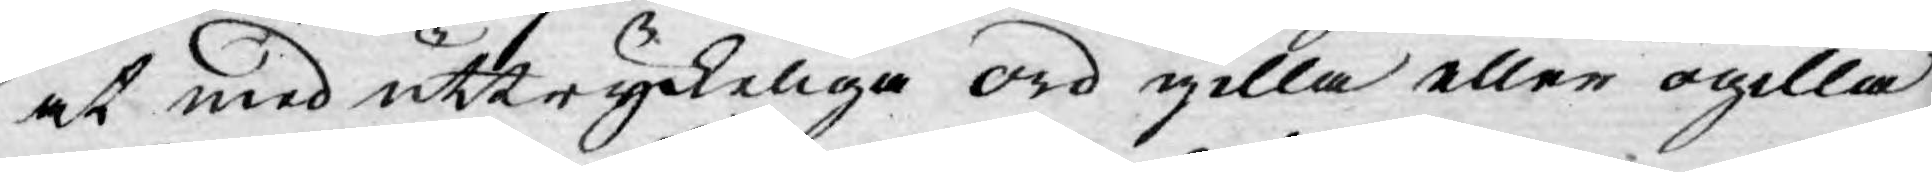at med uttryckeliga ord gilla eller ogilla
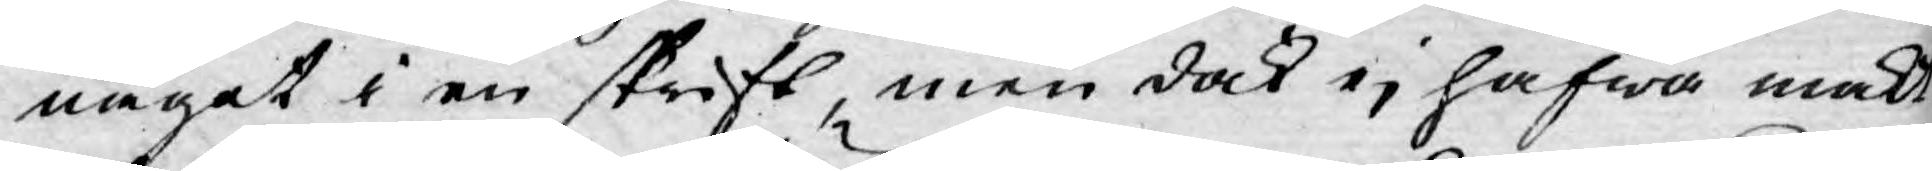något i en skrift, men dock ej hafwa makt
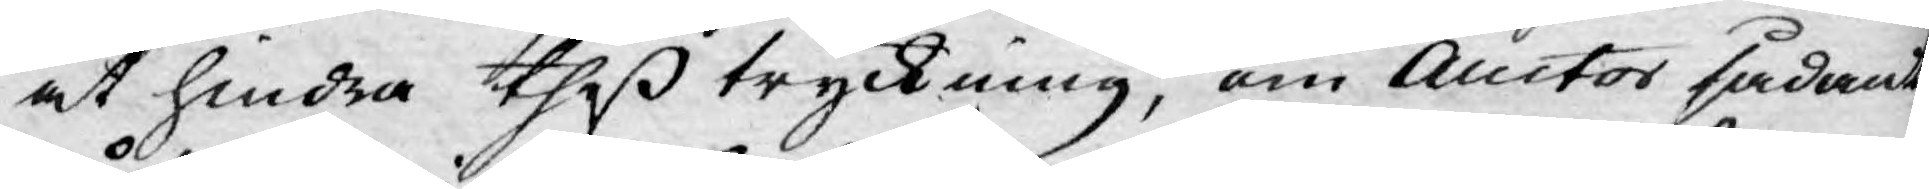at hindra theß tryckning, om Auctor sådant
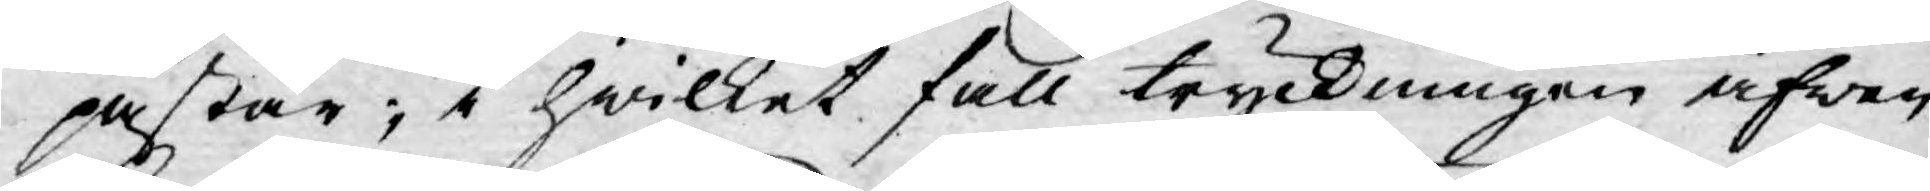påstår; i hwilket fall tryckningen äfwen
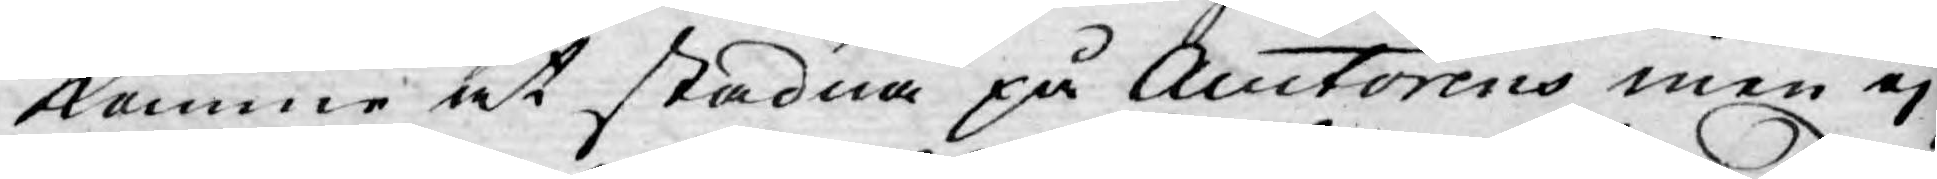komme at stadna på Auctorens men ej
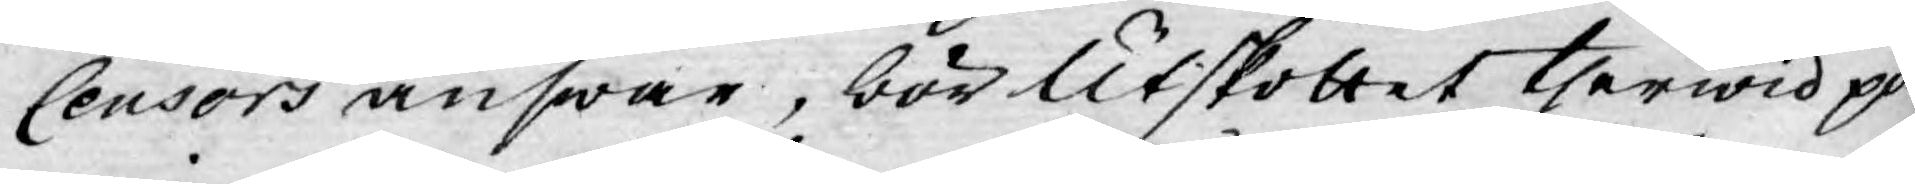Censors answar, bör Utskottet therwid på¬
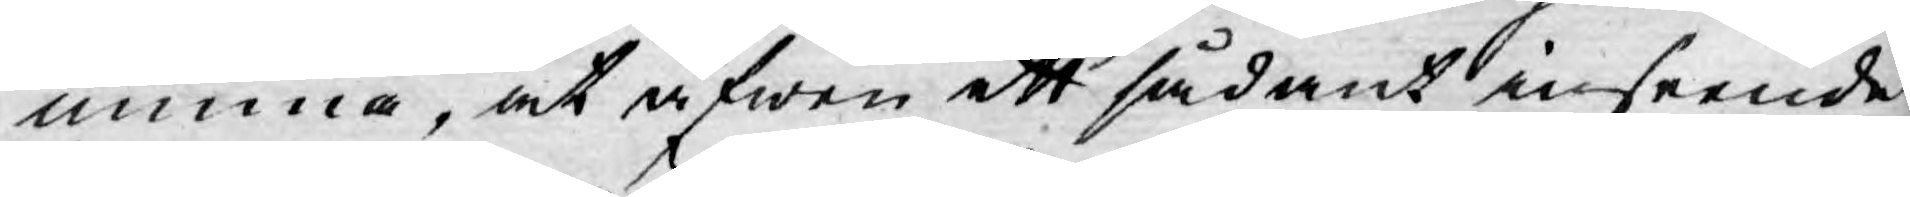minna, at äfwen ett sådant inseende
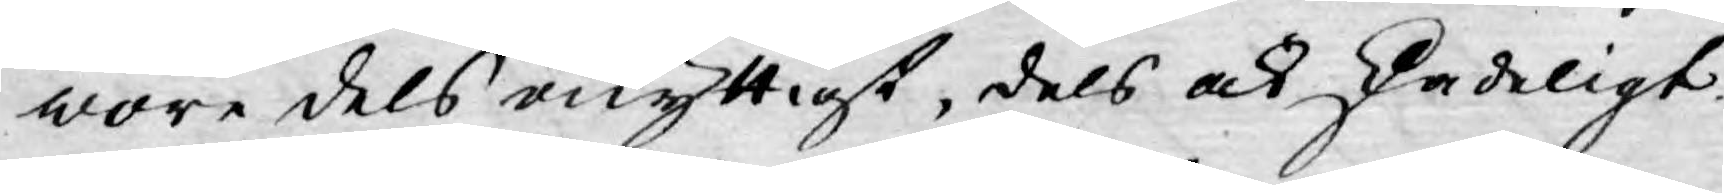wore dels onyttigt, dels ock skadeligt.
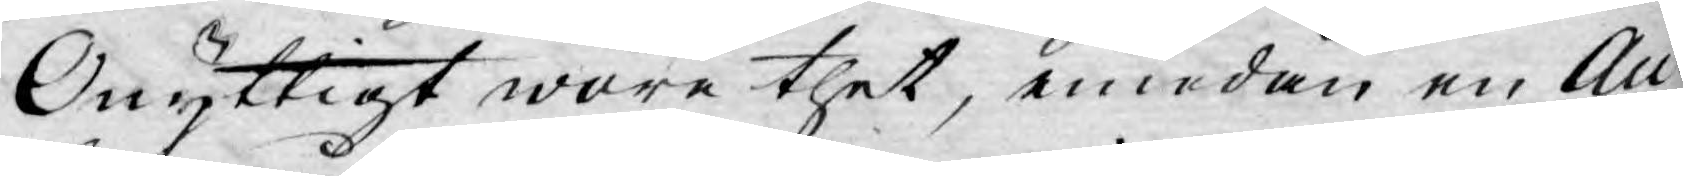Onyttigt wore thet, emedan en Au¬
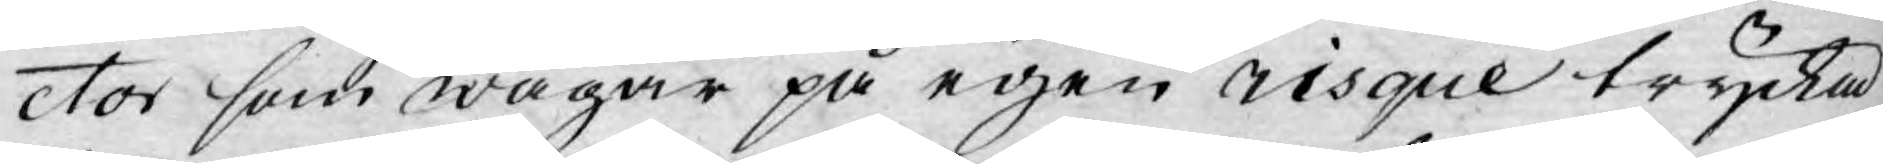ctor som wågar på egen risque trycka
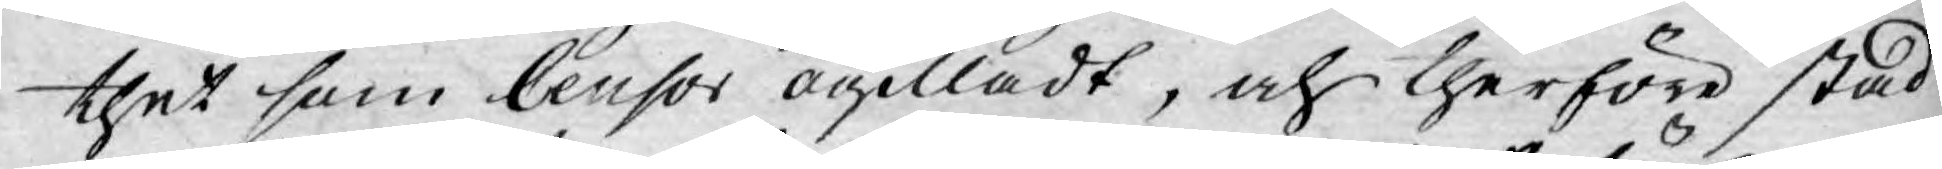thet som Censor ogilladt, och therföre stad¬
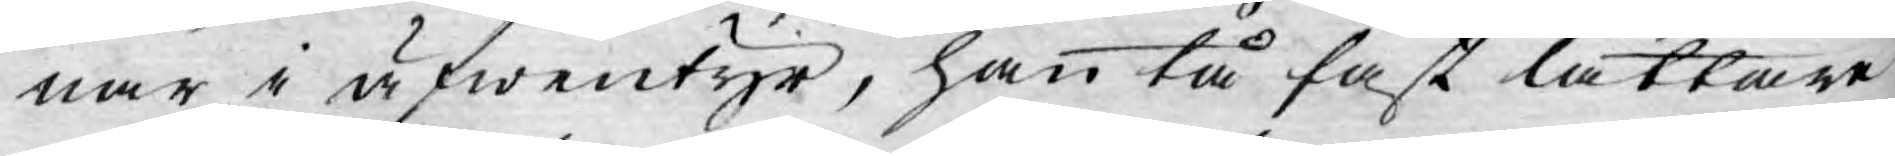nar i äfwentyr, han tå fast lättare
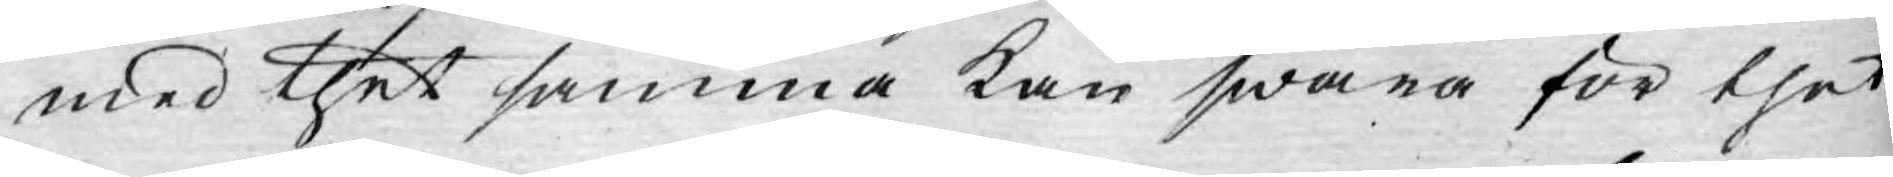med thet samma kan swara för thet
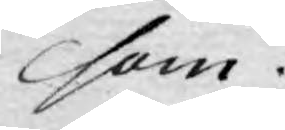som
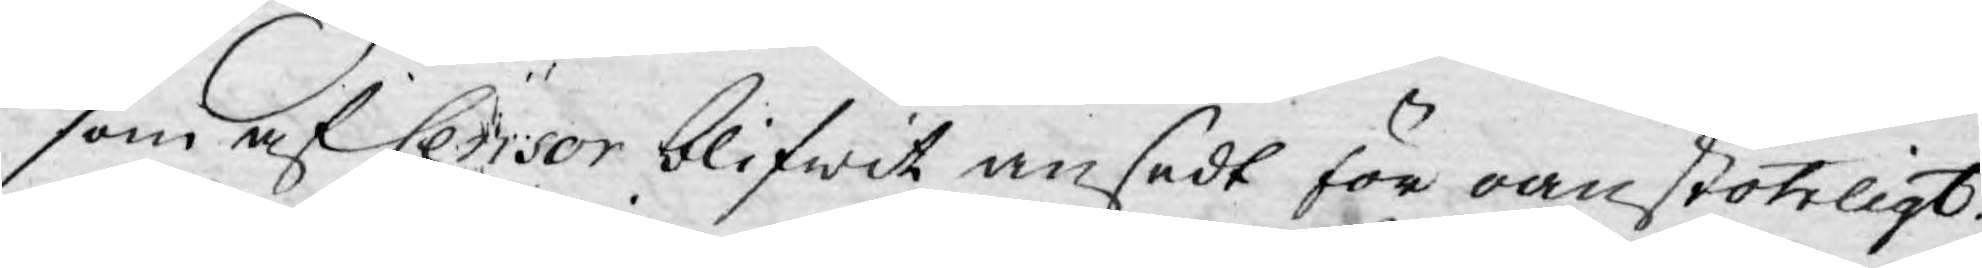som af Censor blifwit ansedt för oanstöteligt.
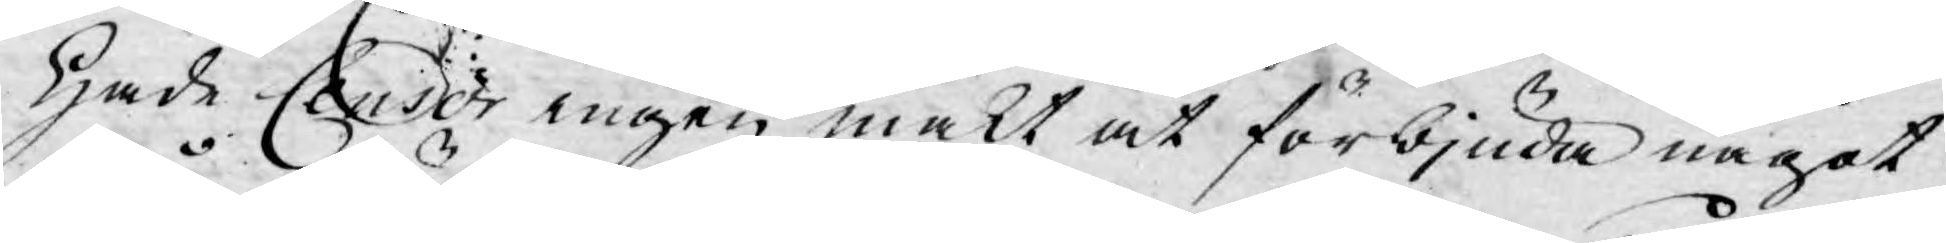Hade Censor ingen makt at förbjuda något
